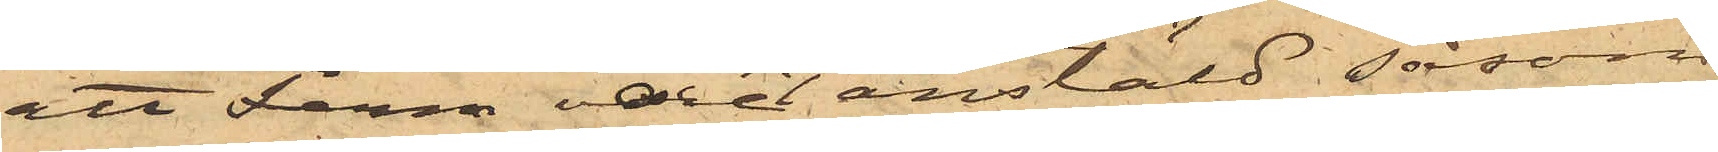att Ferm varit anstäld såsom
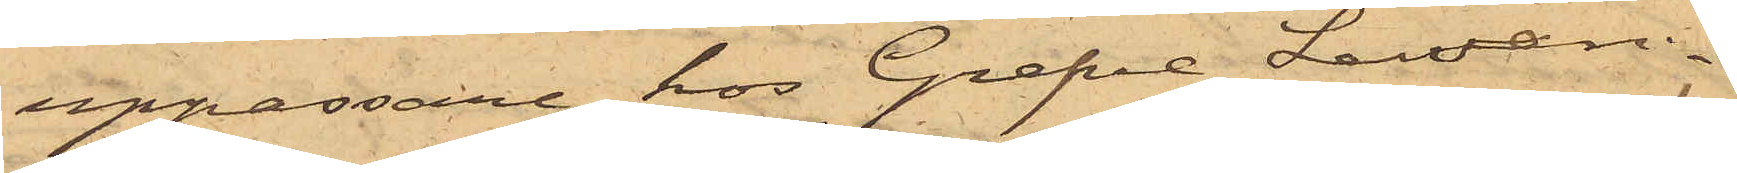uppassare hos Grefve Lewen¬
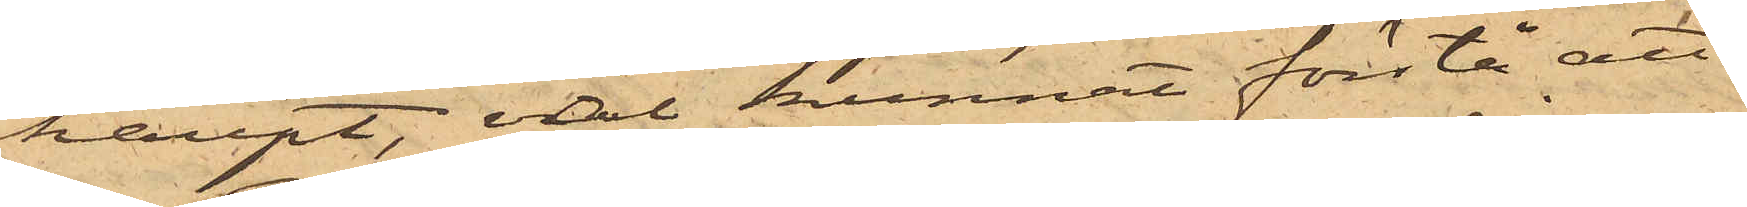haupt, väl kunnat förstå att
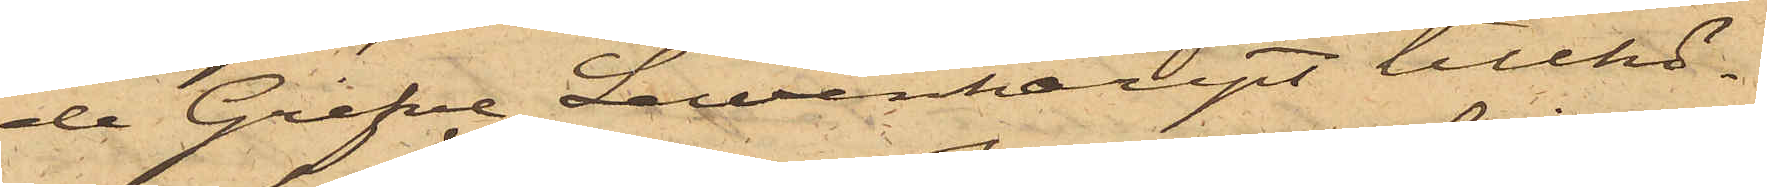de Grefve Lewenhaupt tillhö¬
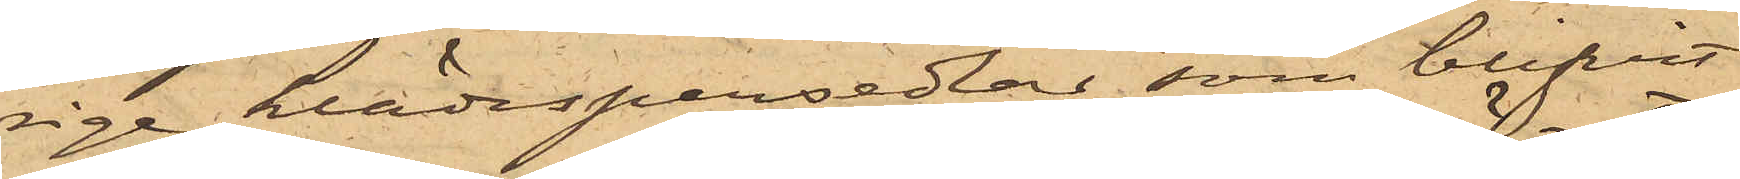rige klädespersedlar, som blifvit
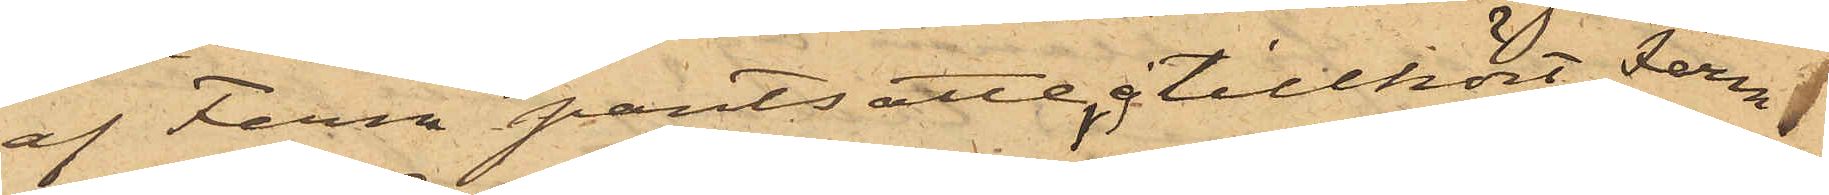af Ferm pantsatte, ej tillhört Ferm
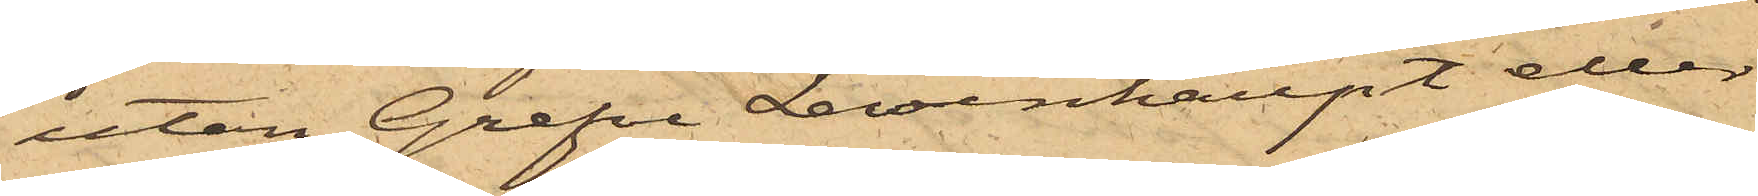utan Grefve Levenhaupt eller
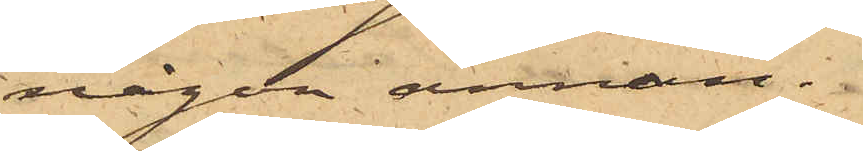någon annan.
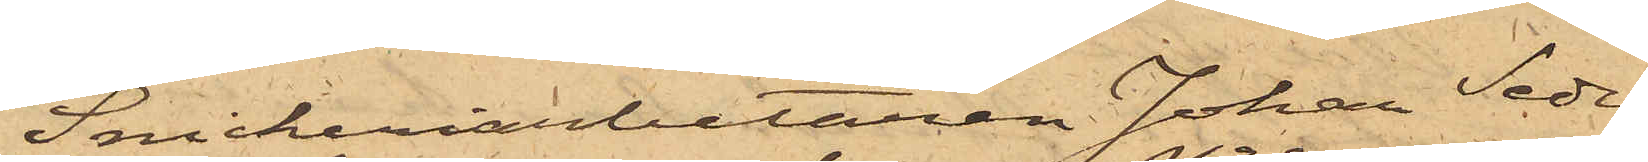Snickeriarbetaren Johan Seder¬
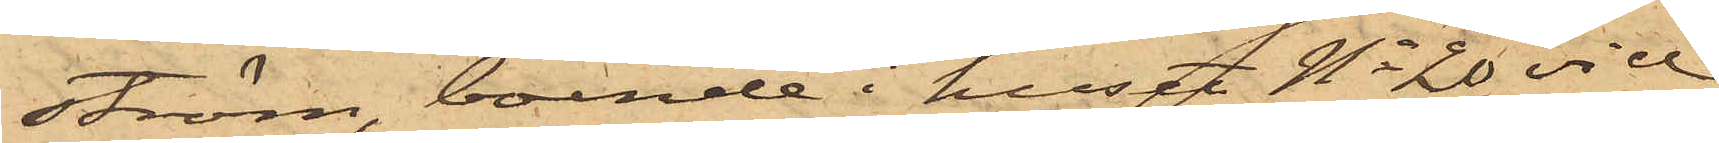ström, boende i huset No 20 vid
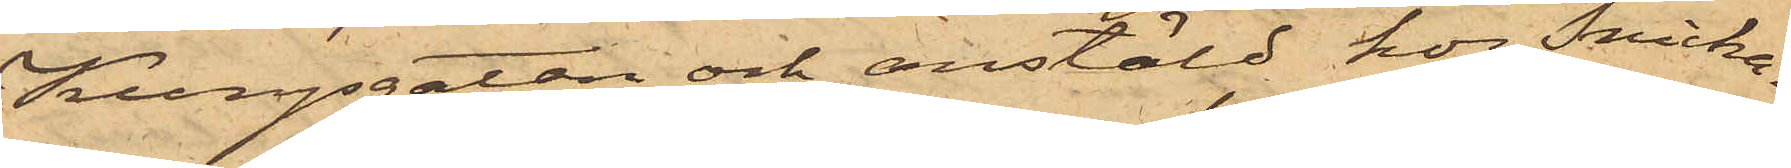Kungsgatan och anstäld hos Snicka¬
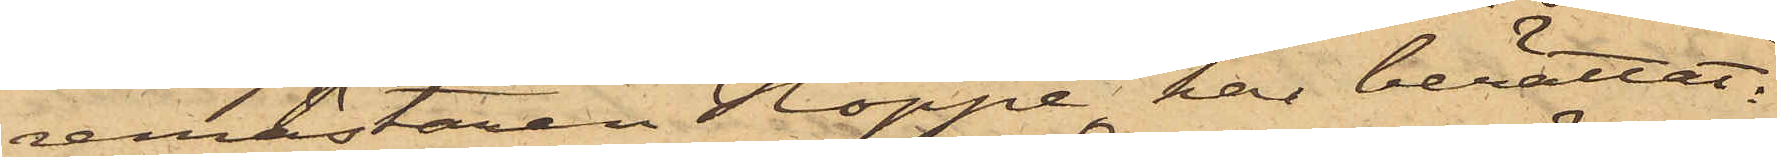remästaren Hoppe, har berättat:
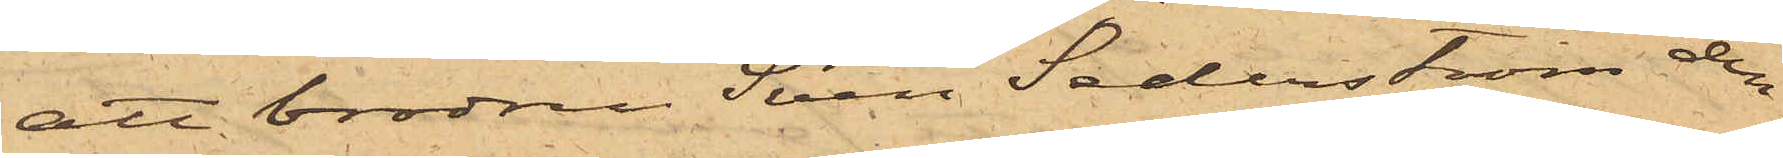att brodren Sven Sederström den
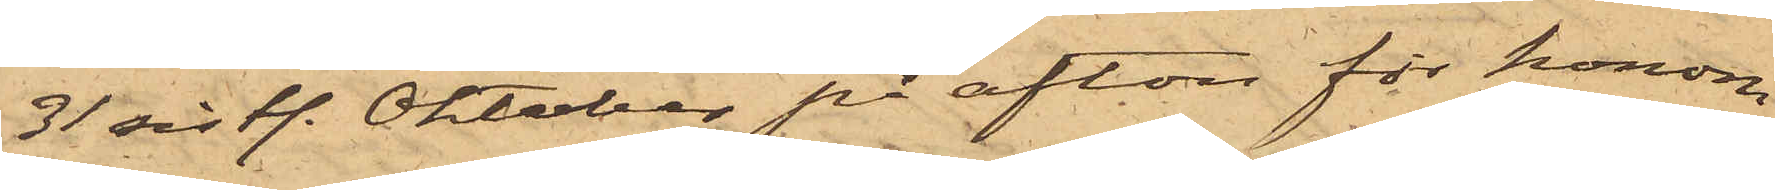31 sistl. Oktober på afton för honom
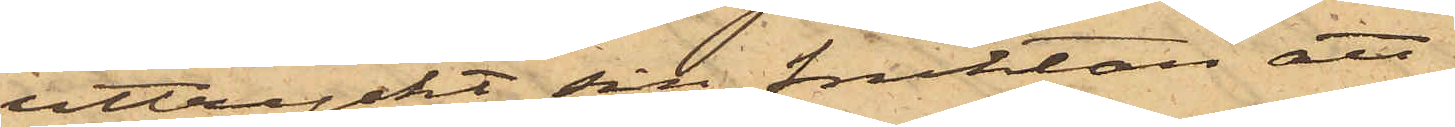uttryckt sin fruktan att
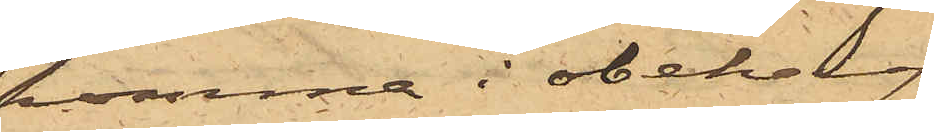komma i obehag
